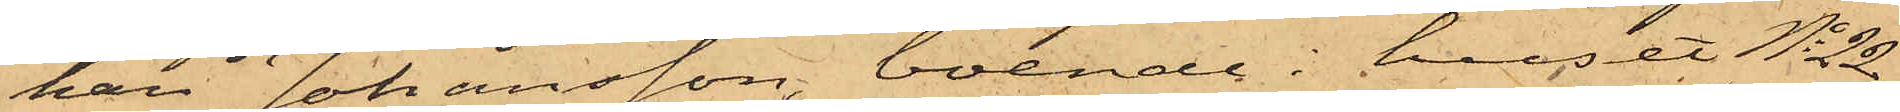han Johansson, boende i huset No 22
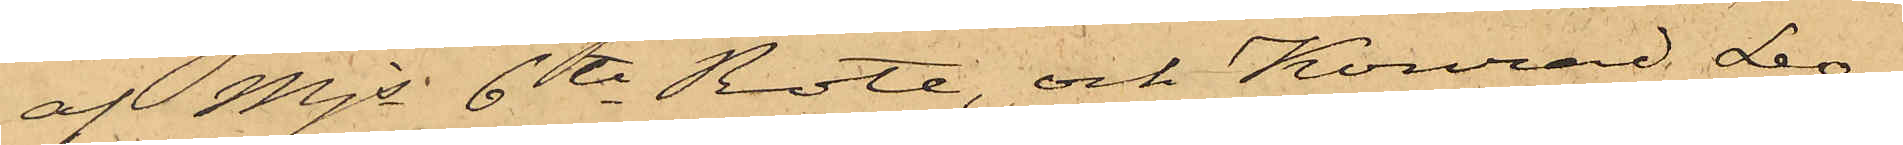af Mjs 6te Rote, och Konrad Leo¬
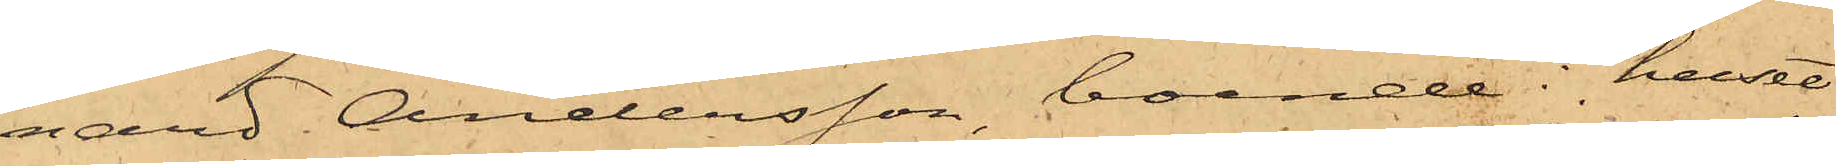nard Andersson, boende i huset
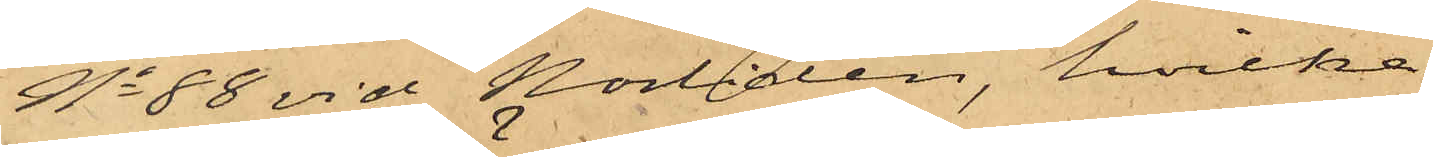No 88 vid Norliden, hvilka
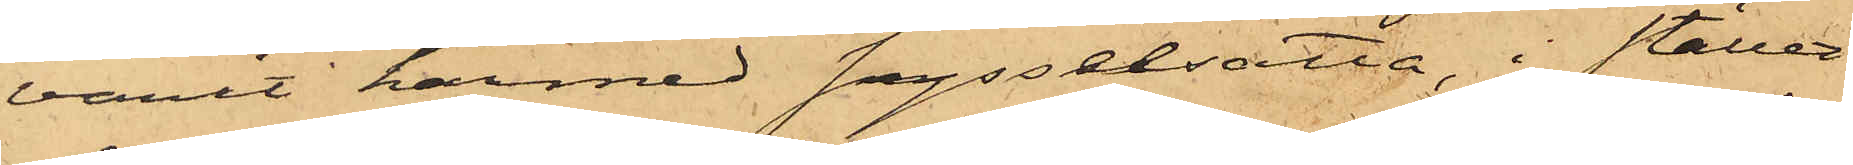varit härmed sysselsatta, i stället
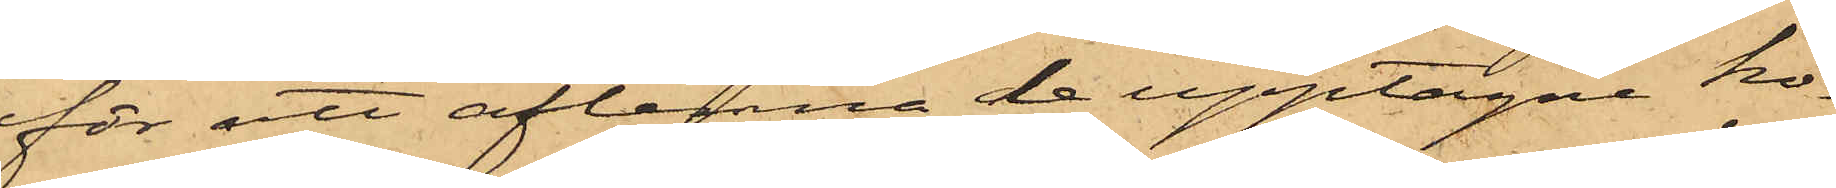för att aflemna de upptagne ko¬
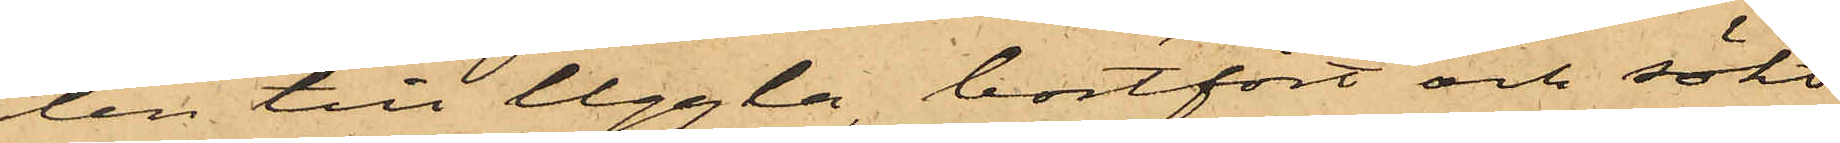len till Uggla, bortfört och sökt
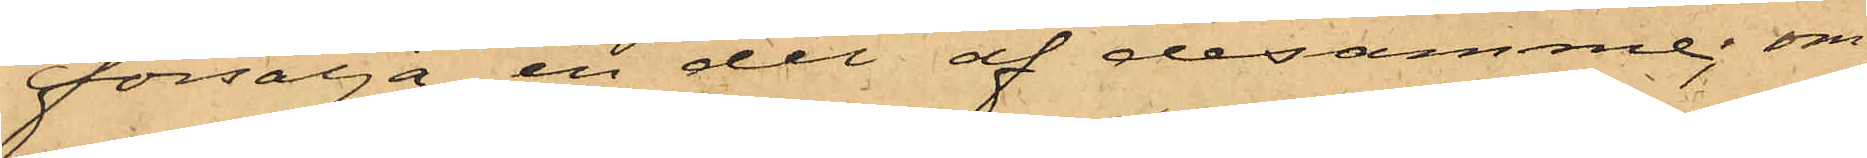försälja en del af desamme; om
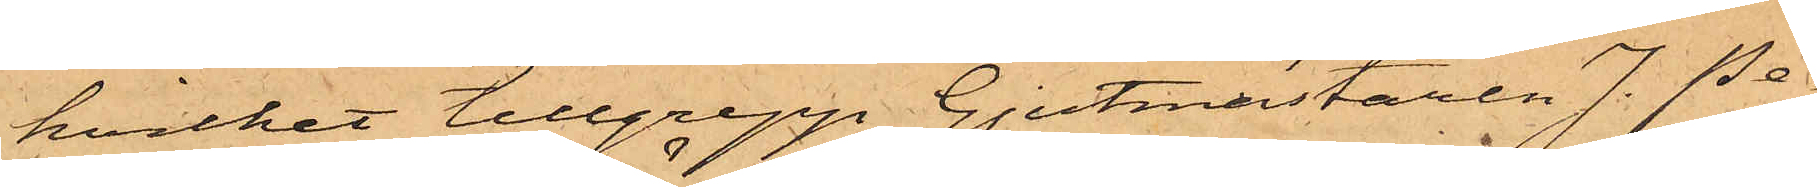hvilket tillgrepp Gjutmästaren J. Pe¬
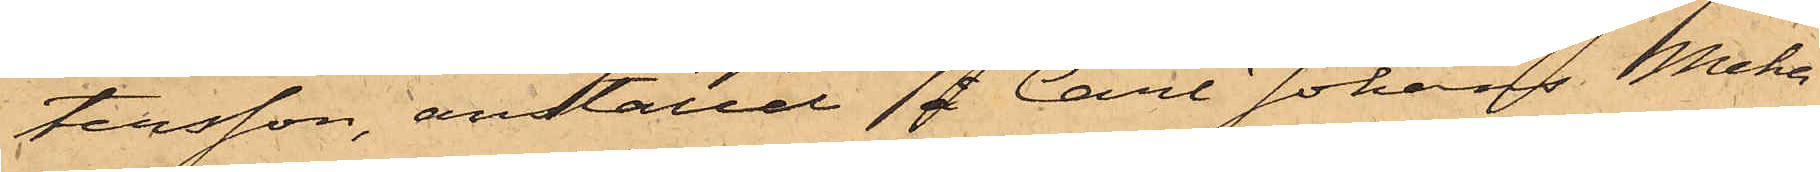tersson, anställd å Carl Johans Meka¬
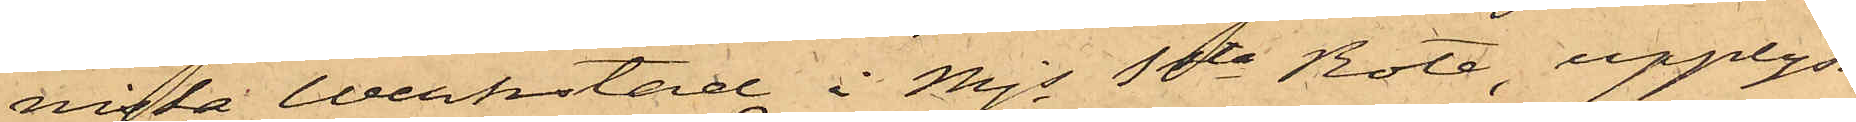niska Werkstad i Mjs 1sta Rote upplyst
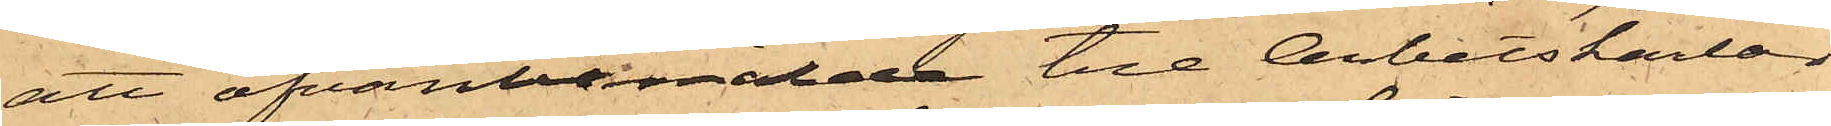att ofvanbemälde tre Arbetskarlar
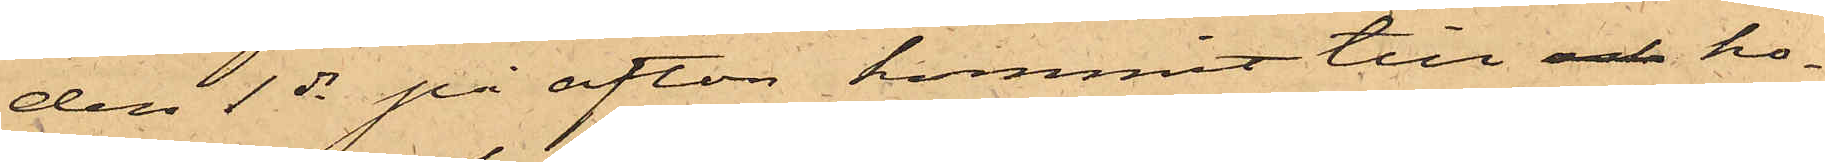den 1 ds på afton kommit till och ho¬
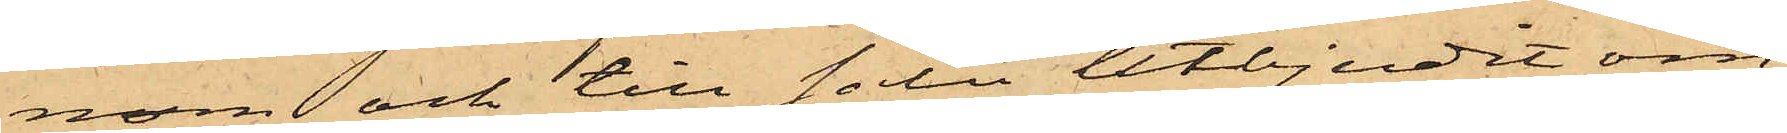nom och till salu utbjudit om¬
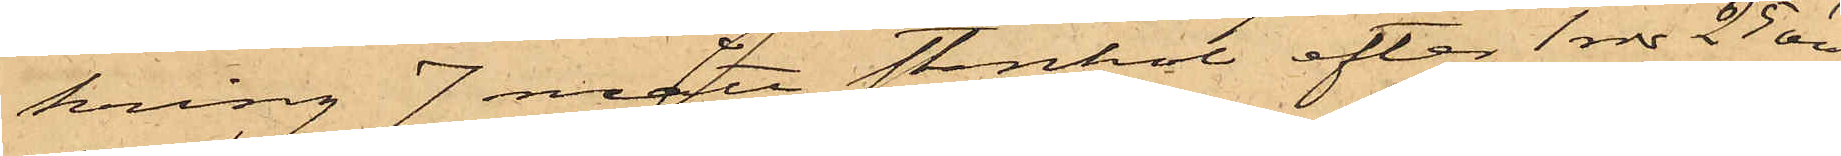kring 7 mått stenkol, efter 1 rdr 25 öre,
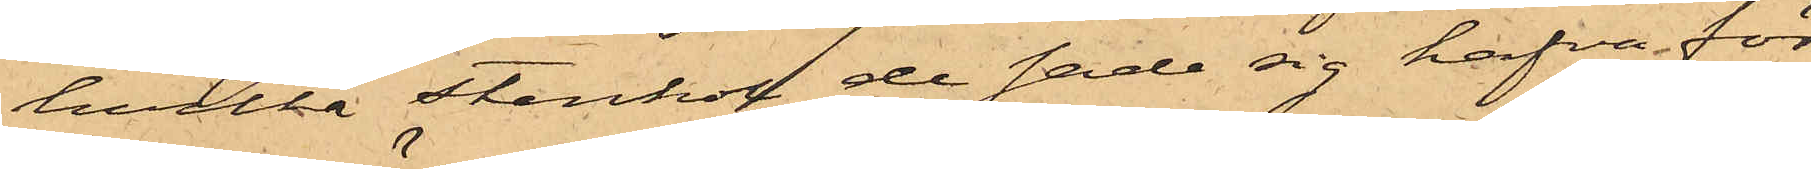hvilka Stenkol de sade sig hafva för
